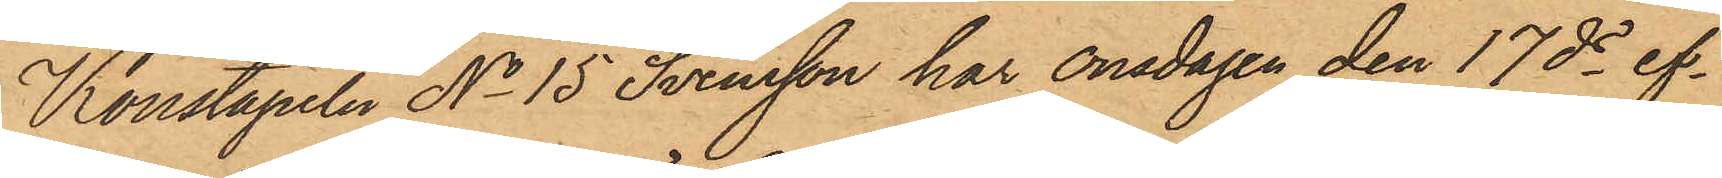Konstapeln No 15 Svensson har onsdagen den 17 ds ef¬
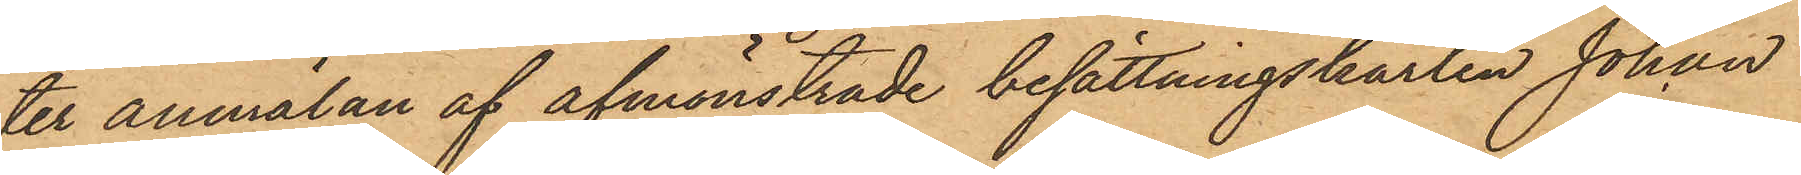ter anmälan af afmönstrade besättningskarlen Johan
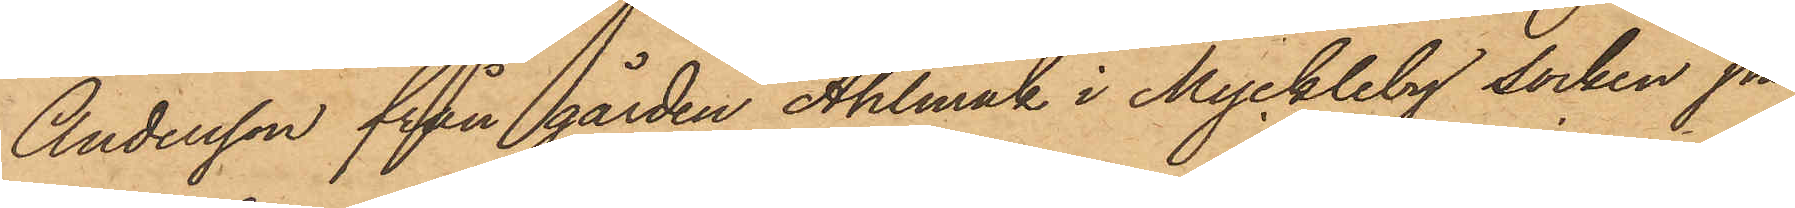Andersson från gården Ahlmak i Myckleby socken på
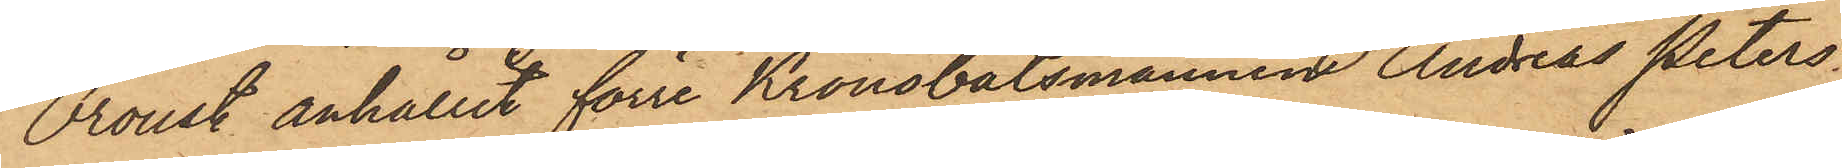Oroust anhållit förre Kronobåtsmannen Andreas Peters¬
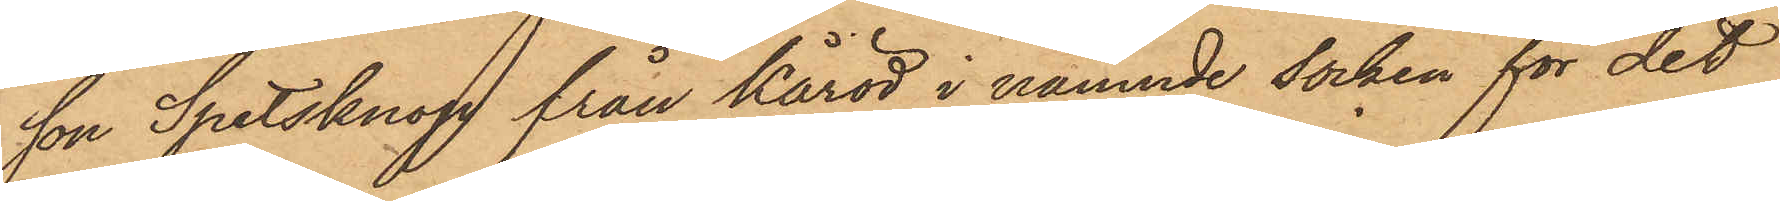son Spetsknop från Kåröd i nämnde socken för det
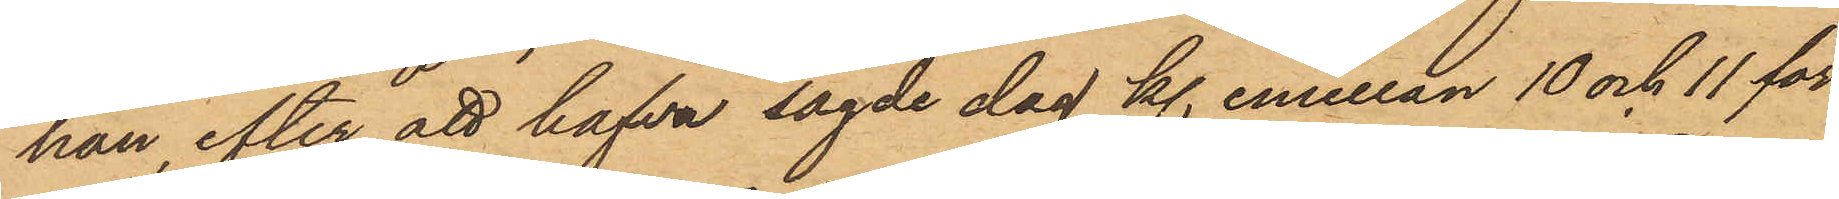han, efter att hafva sagde dag kl. emellan 10 och 11 för¬
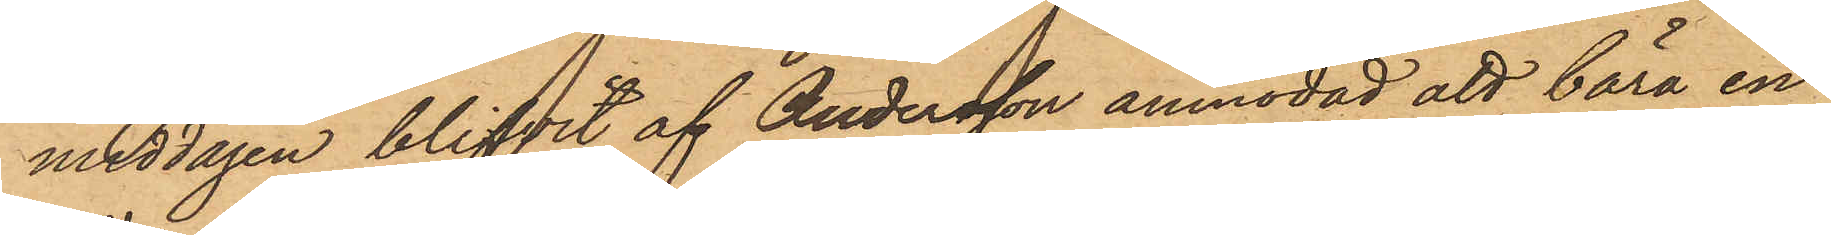middagen blifvit af Andersson anmodad att bära en
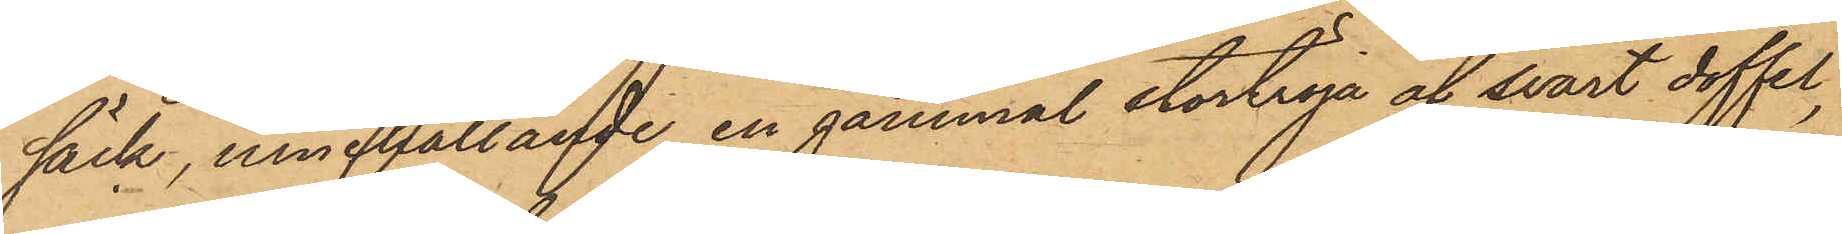säck, innehållande en gammal stortröja af svart doffel,
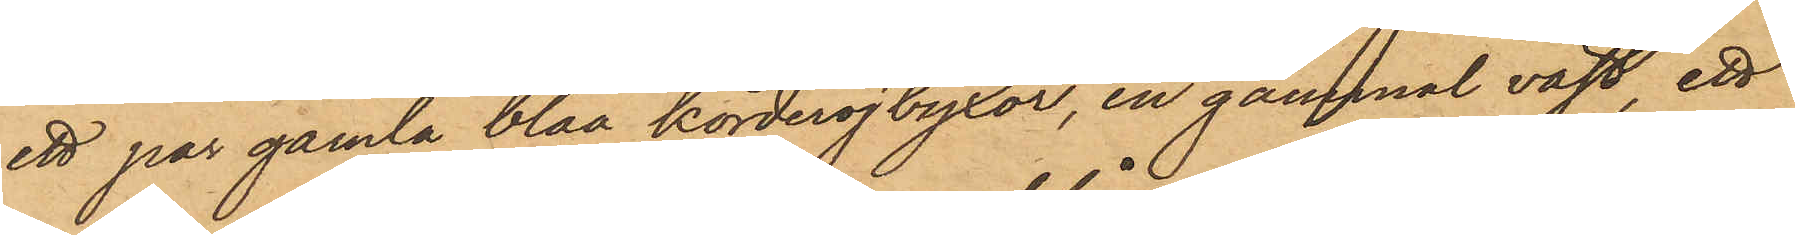ett par gamla blåa korderojbyxor, en gammal väst, ett
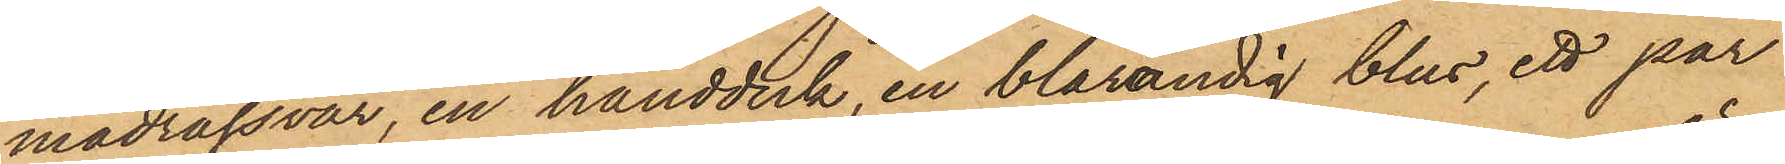madrassvar, en handduk, en blårandig blus, ett par
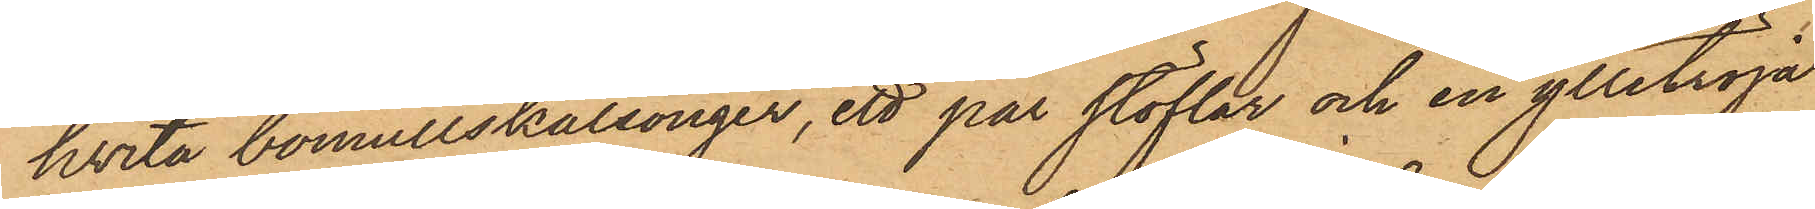hvita bomullskalsonger, ett par stöflar och en ylletröja
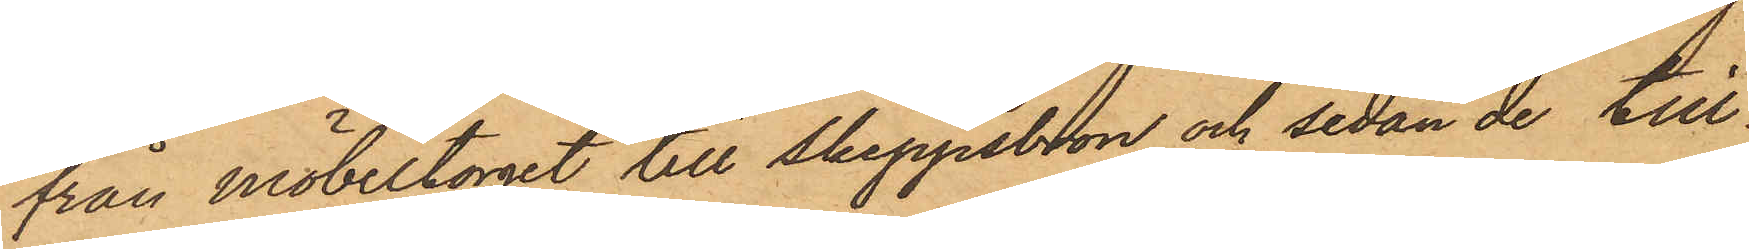från möbeltorget till skeppsbron och sedan de till¬
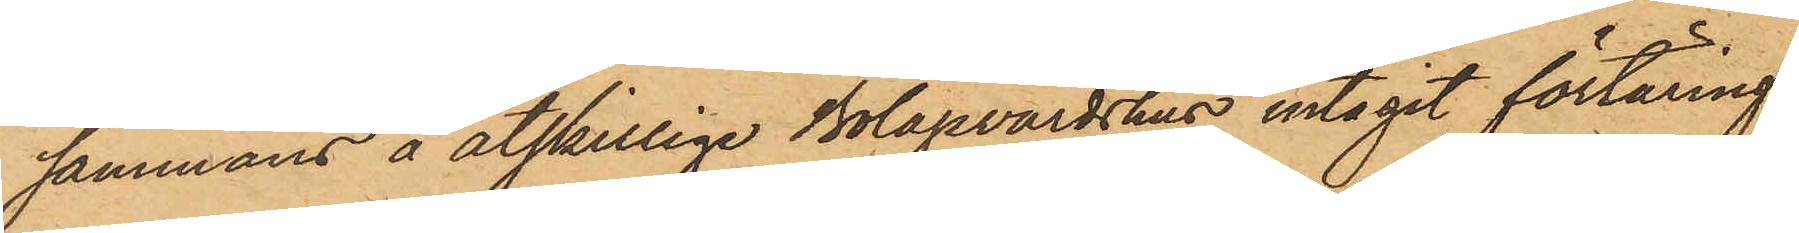sammans å åtskillige Bolagsvärdshus intagit förtäring,
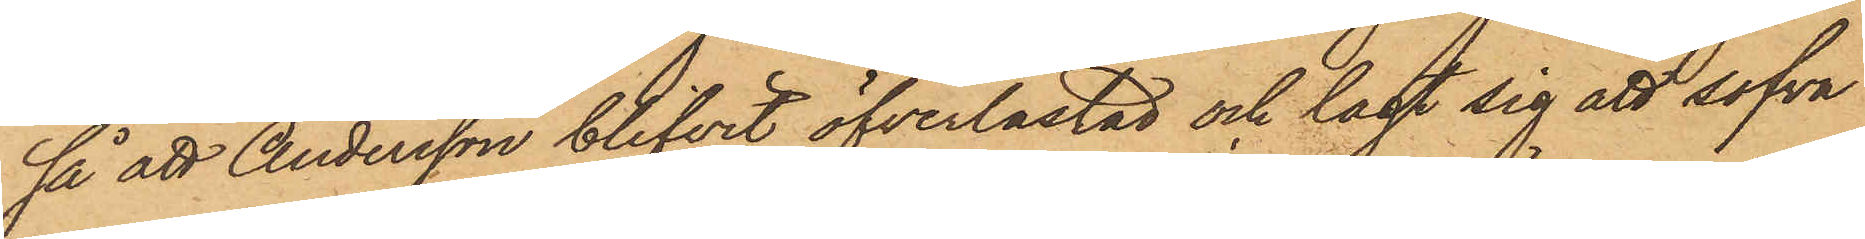så att Andersson blifvit öfverlastad och lagt sig att sofva
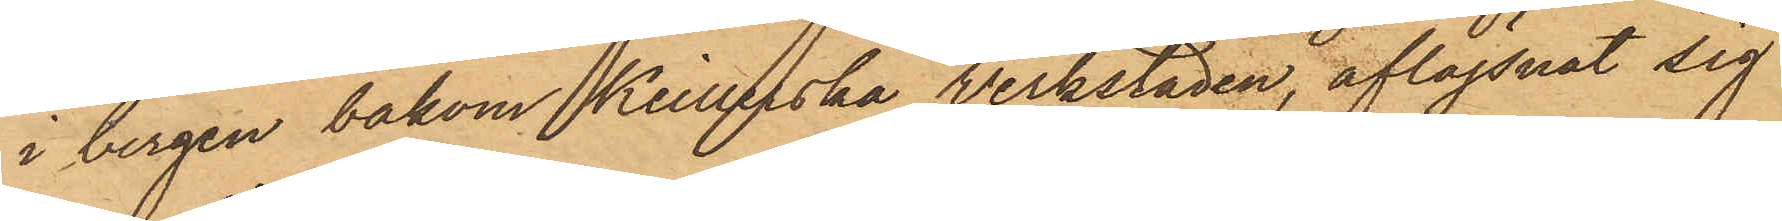i bergen bakom Keillerska verkstaden, aflägsnat sig
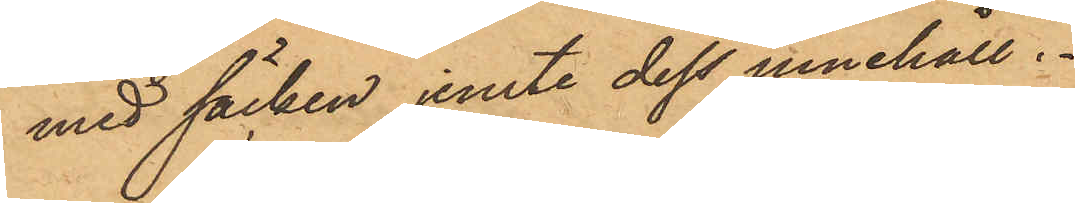med säcken jemte dess innehåll.
